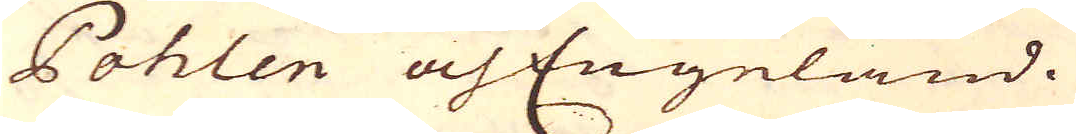Pohlen och Engeland.
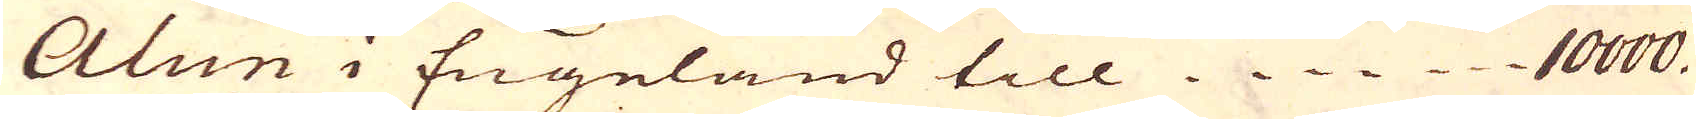Alun i Engeland till 10000.
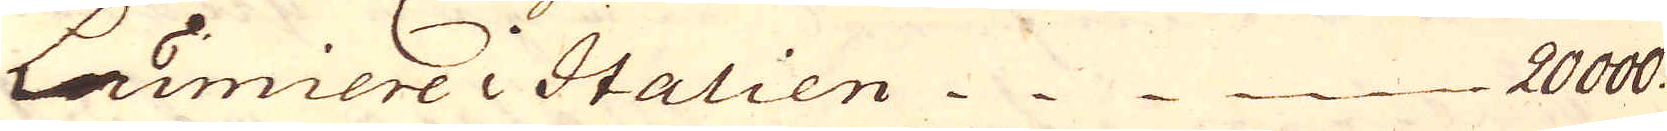Limierei Italien 20000.
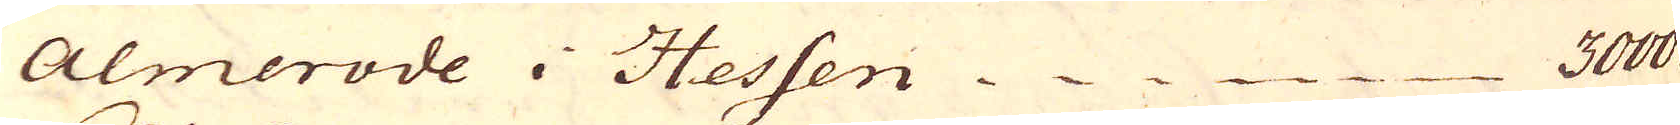Almerode i Hessen 3000
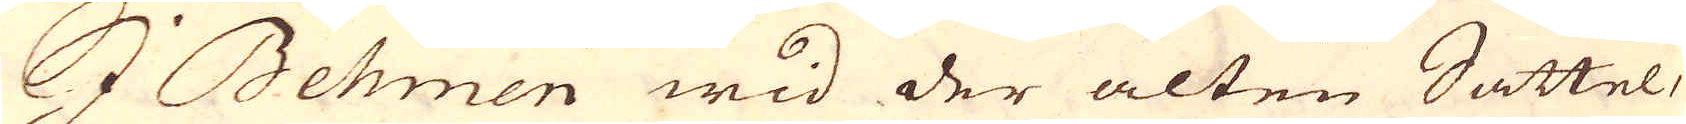I Behmen wid der alten Sattel-
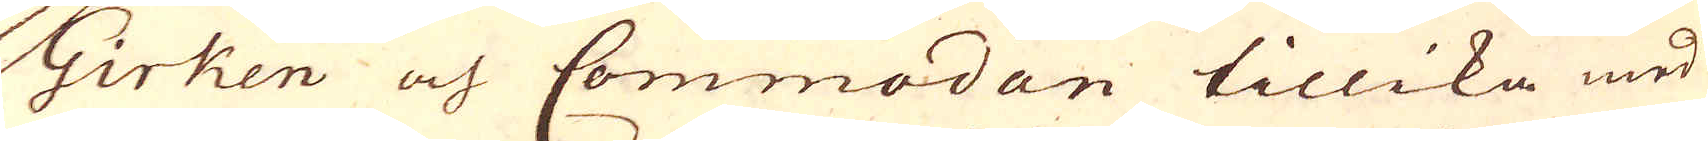Girken och Commodan tillika med
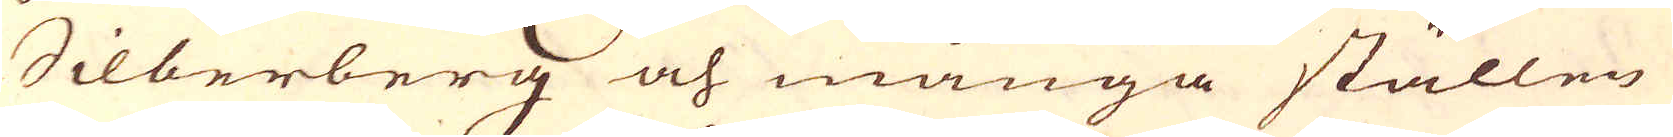Silberberg och många ställen
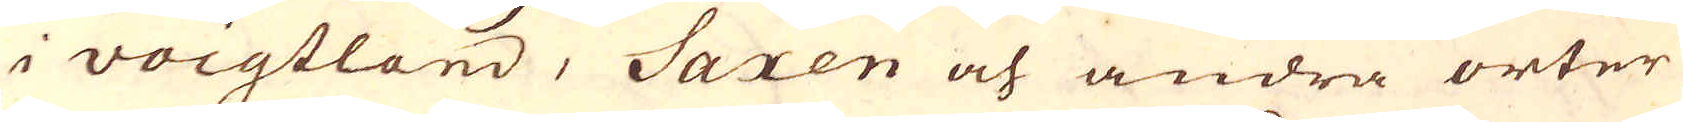i voigtland, Saxen och andra orter
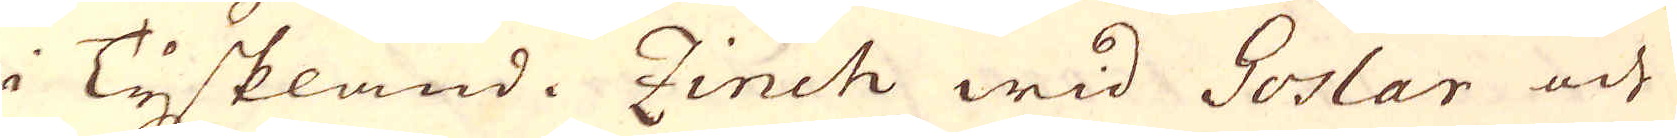i Tyskland. Zinch wid Goslar och
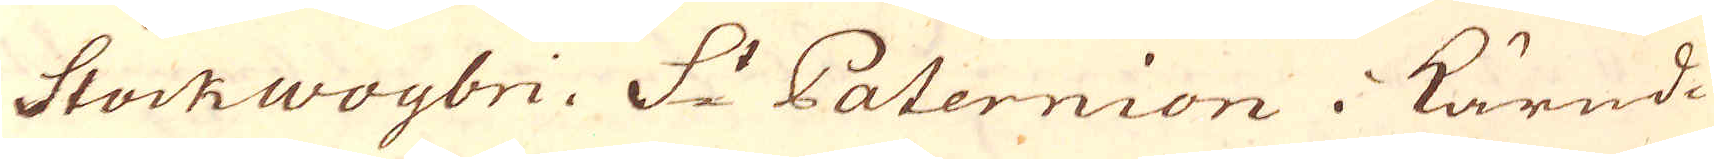Stockwoybri. S:t Paternion i Kärnd-
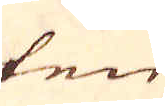ten
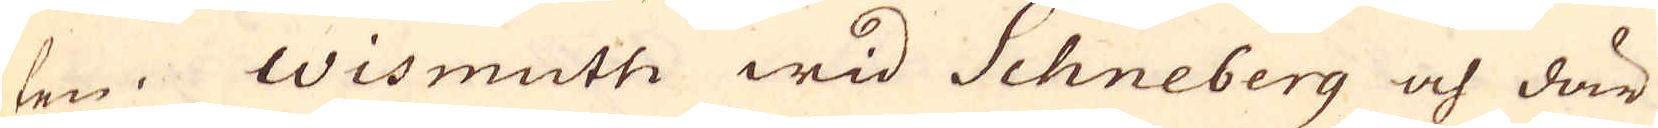ten. Wismuth wid Schneberg och där
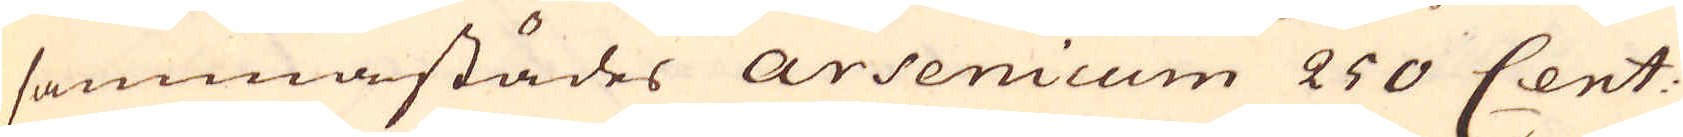sammastädes arsenicum 250 Cent:
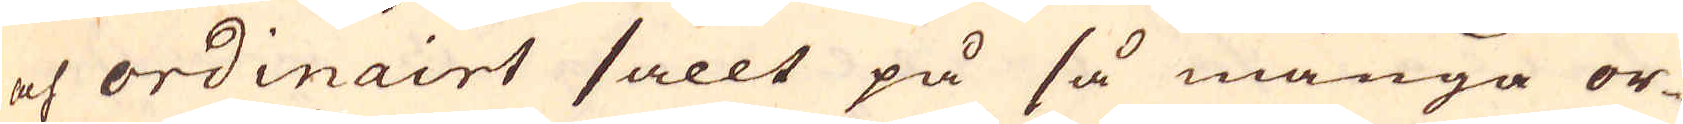och ordinairt sallt på så många or-
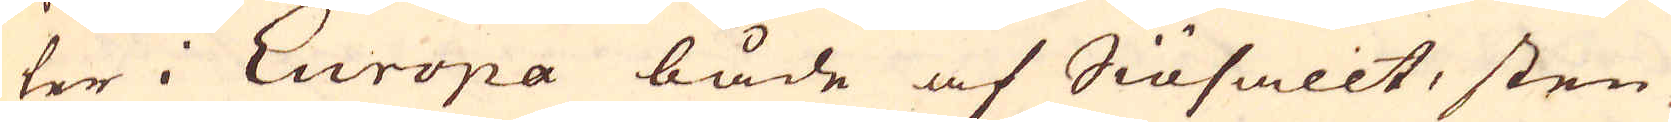ter i Europa både af Siösallt, sten-
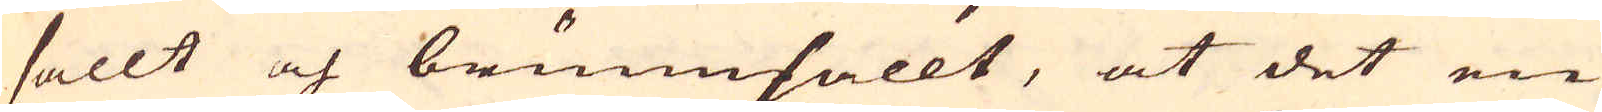sallt och brunnsallt, at det en
